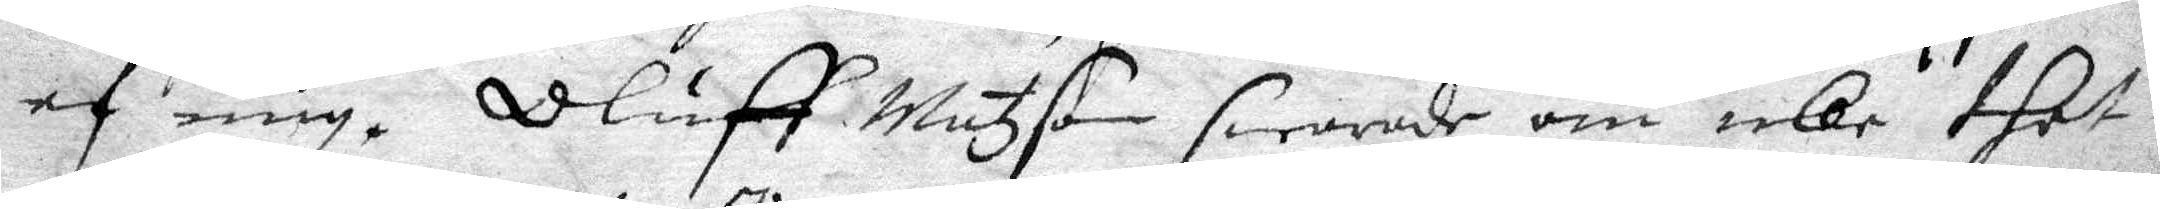af mig. Oluff Matzson swarade om icke thet
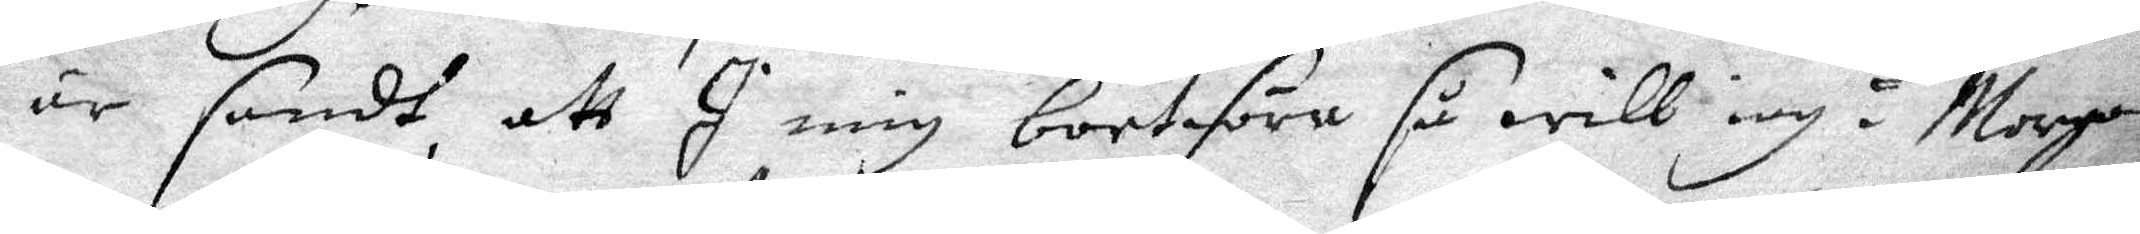är sandt att I mig bortföra så will iag i Morgon
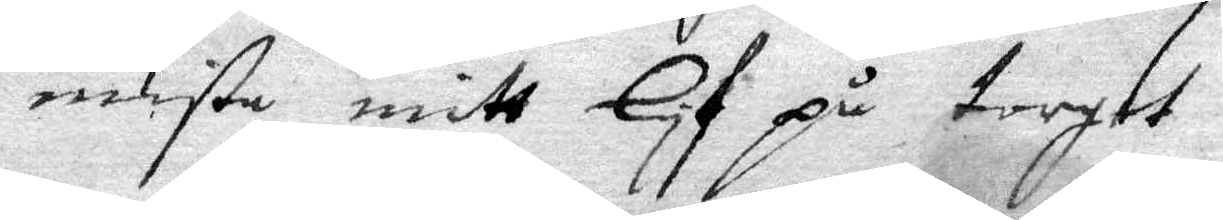mista mitt lif på torget
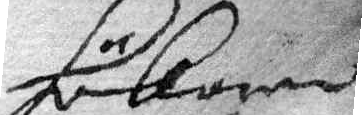hökaren
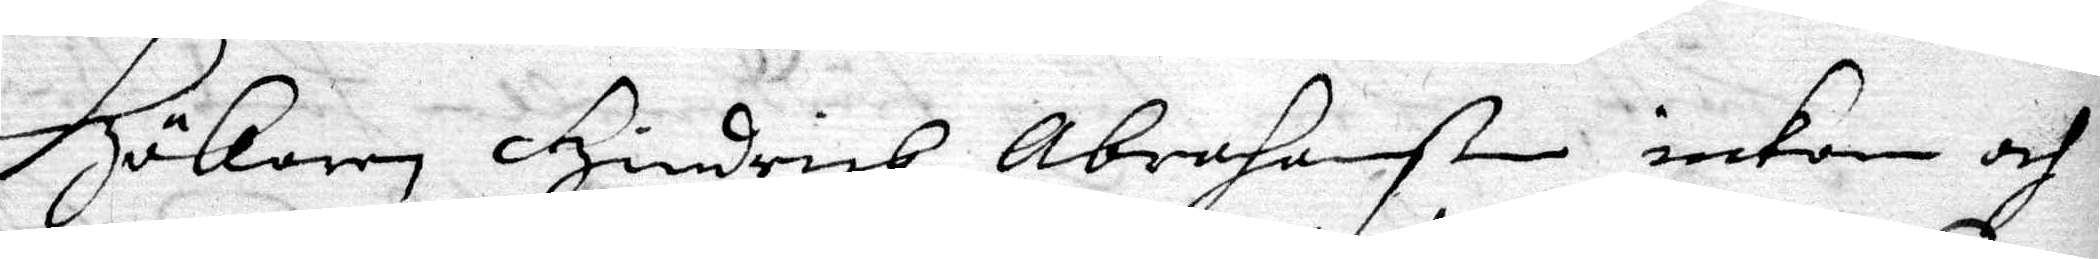Hökaren Hindrich Abrahamßon inkom och
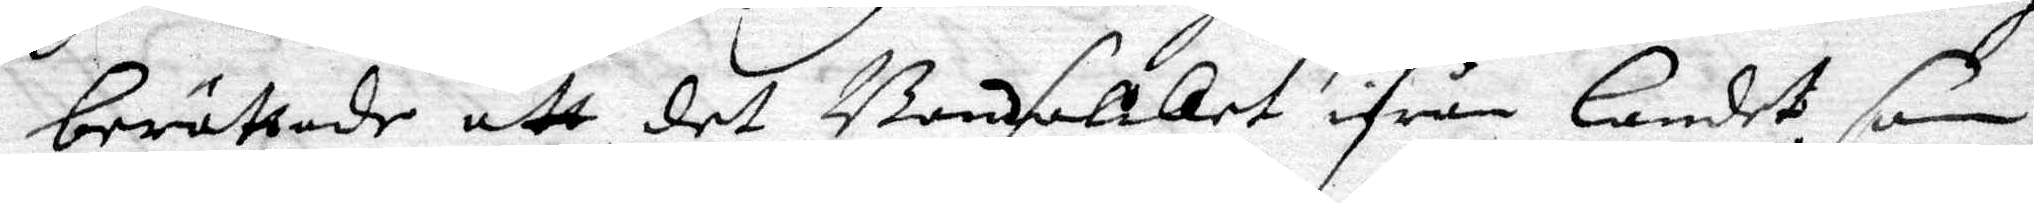berättade att det Bondfolket ifrån Landet, som
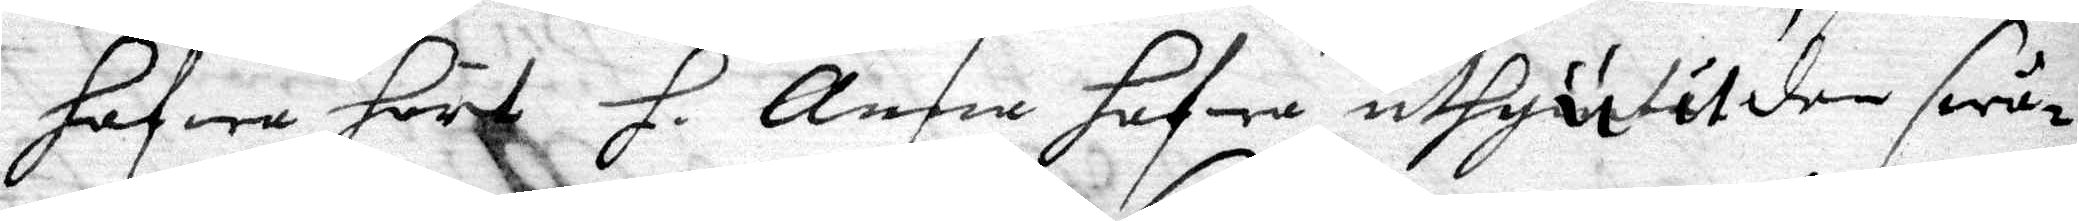hafwa hört H. Anna hafwa uthjutit den swår¬ 
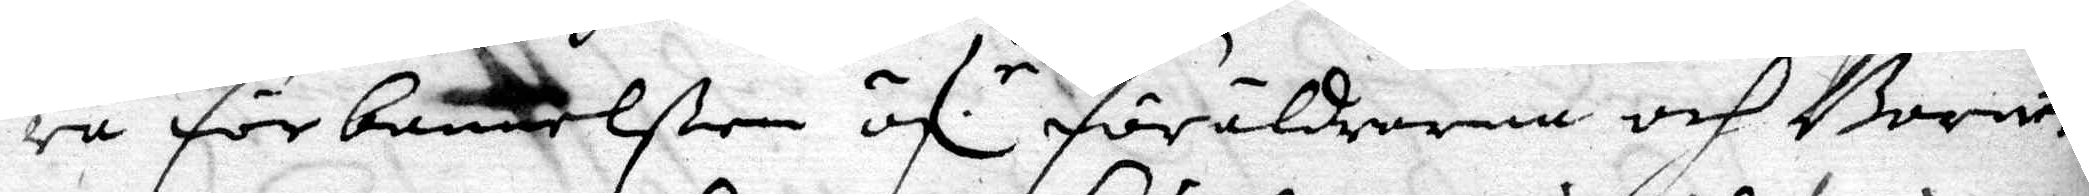ra förbannelßen öf.r föräldrarna och Barne 
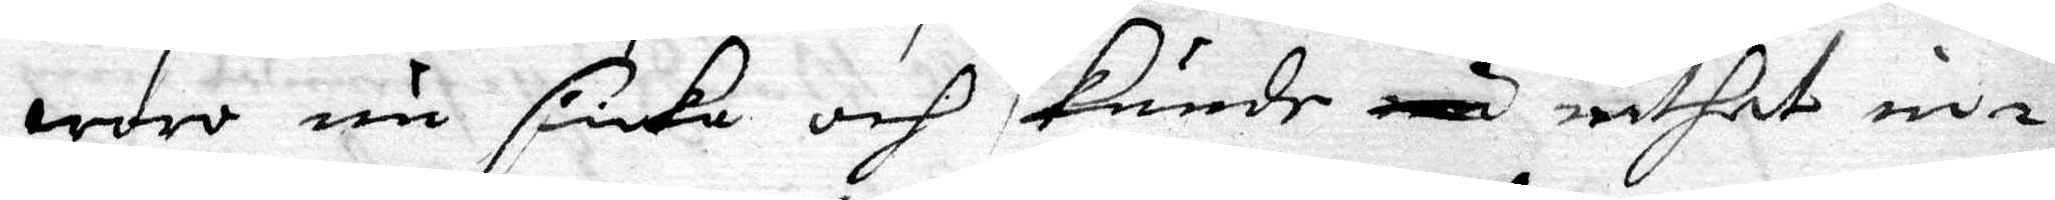woro nu siuka och kunde nu inthet in¬
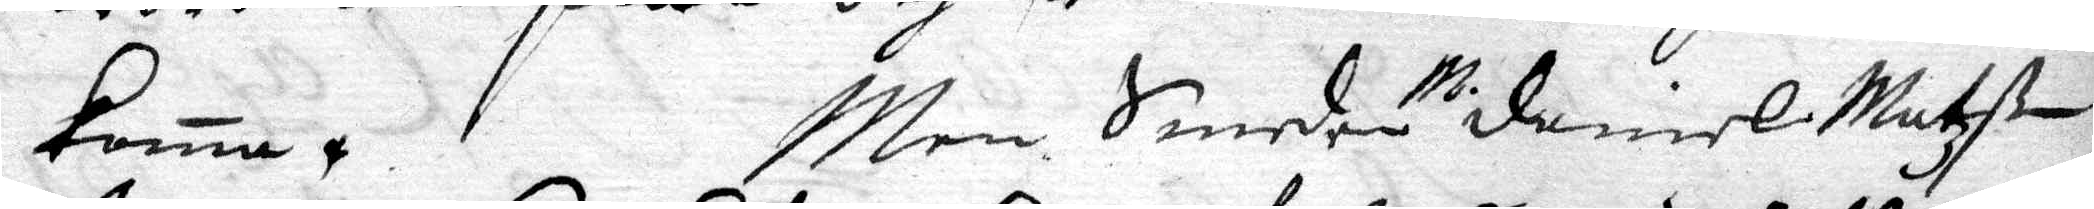koma, Men Smeden M. Daniel Matzßon
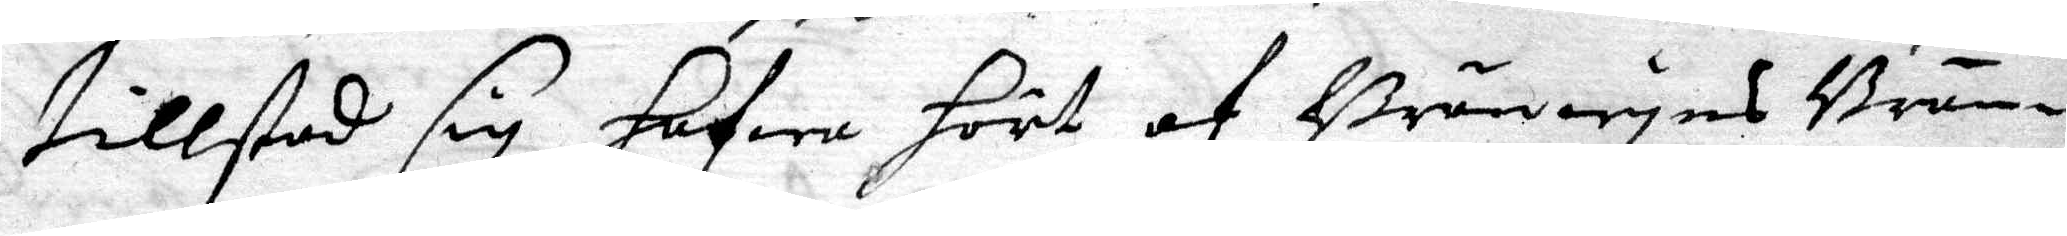tillstod sig hafwa hört af Bränwyns Brän¬
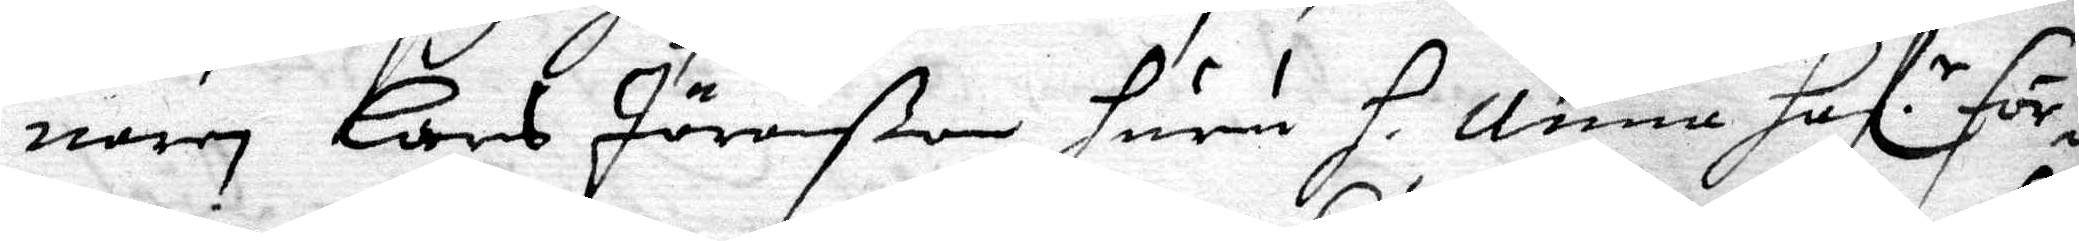naren Lars Jöranßon, huru H. Anna haf:r för¬ 
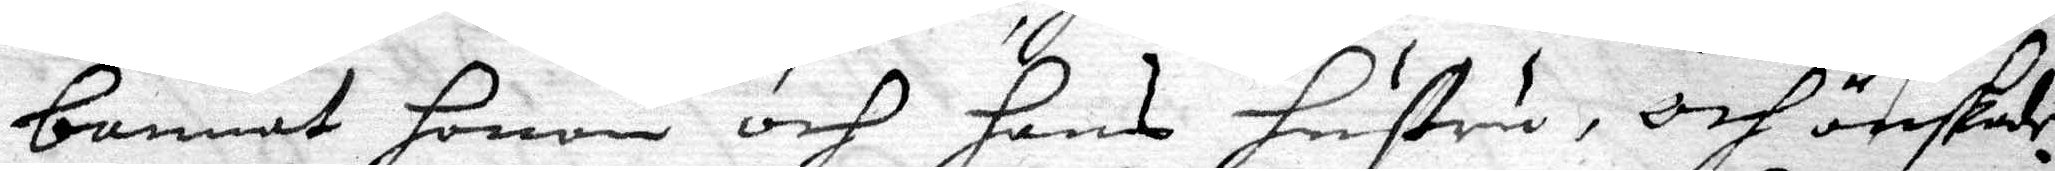bannat honom och hans hustru, och önskade
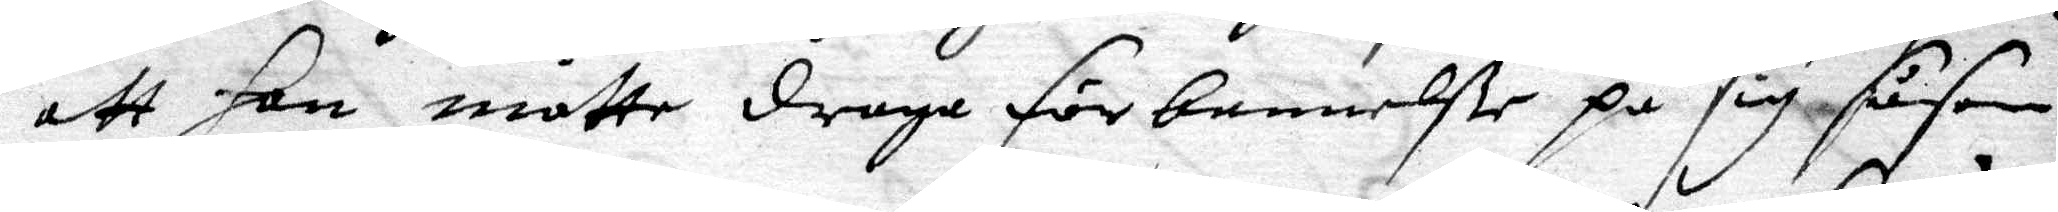att hon måtte draga förbannelße på sig såsom
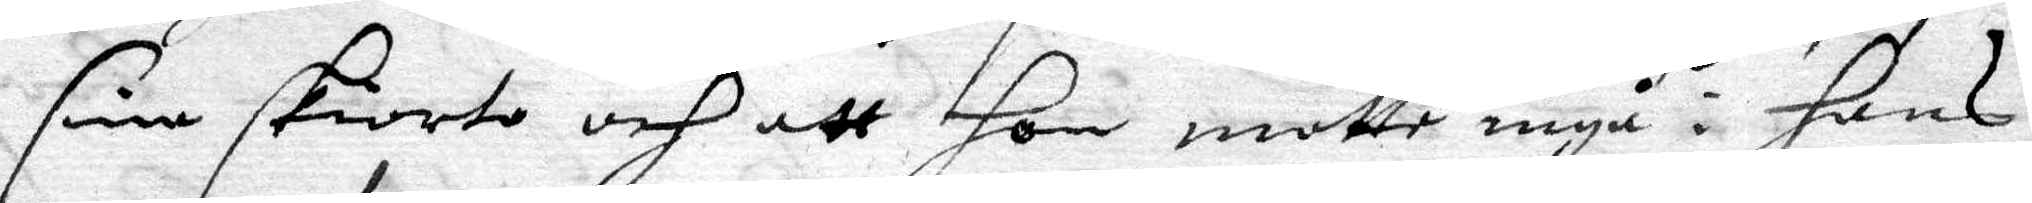sine skiorto och att hon motte ingå i hans
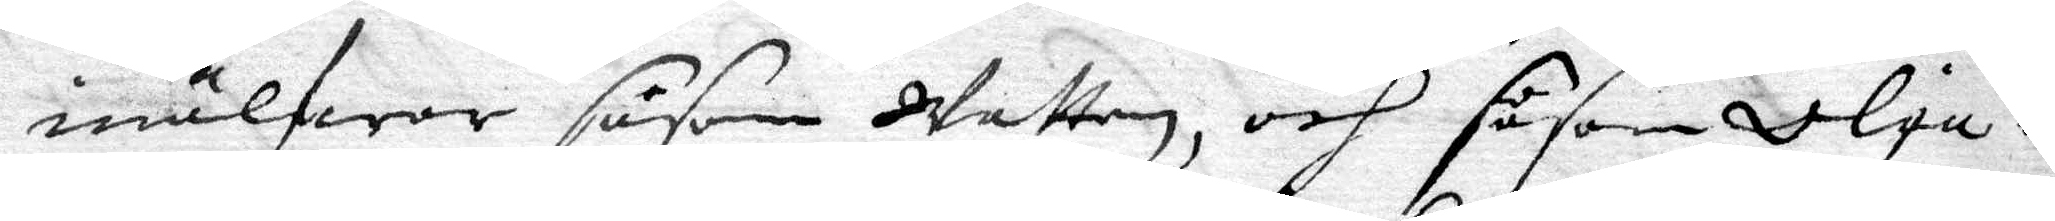inälfwor såsom Watten, och såsom Olja i
